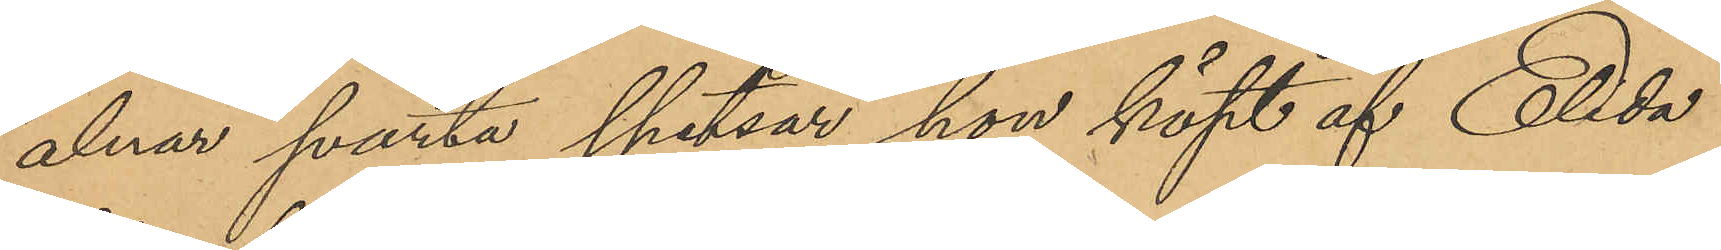alnar svarta spetsar hon köpt af Elida
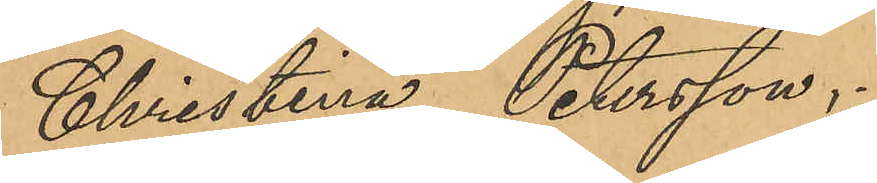Christina Petersson.
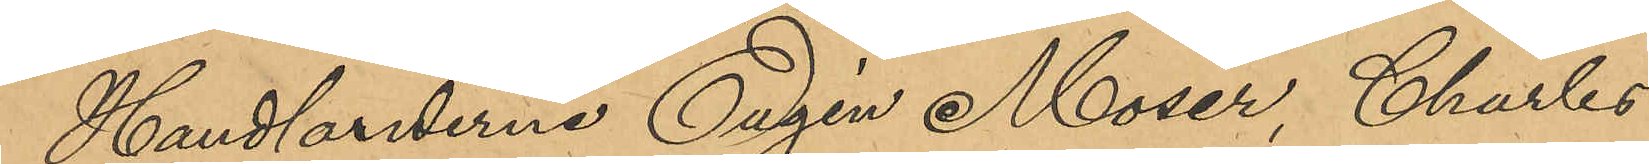Handlanderna Eugen Moser, Charles
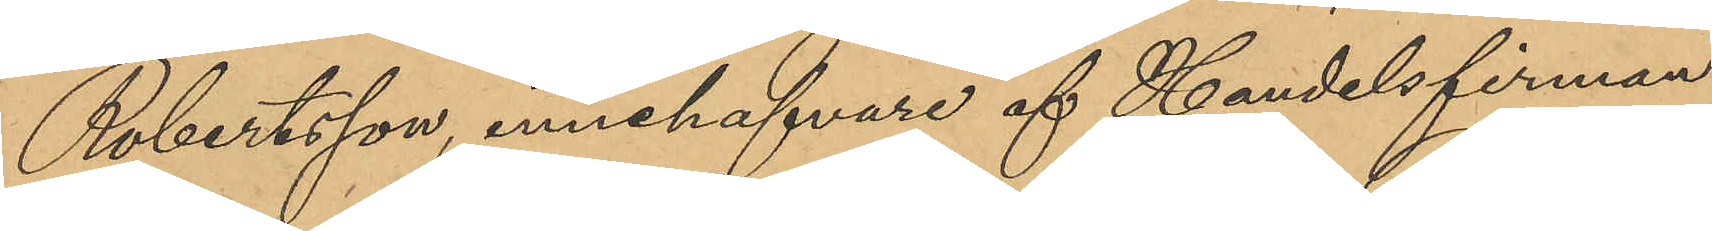Robertsson, innehafvare af Handelsfirman
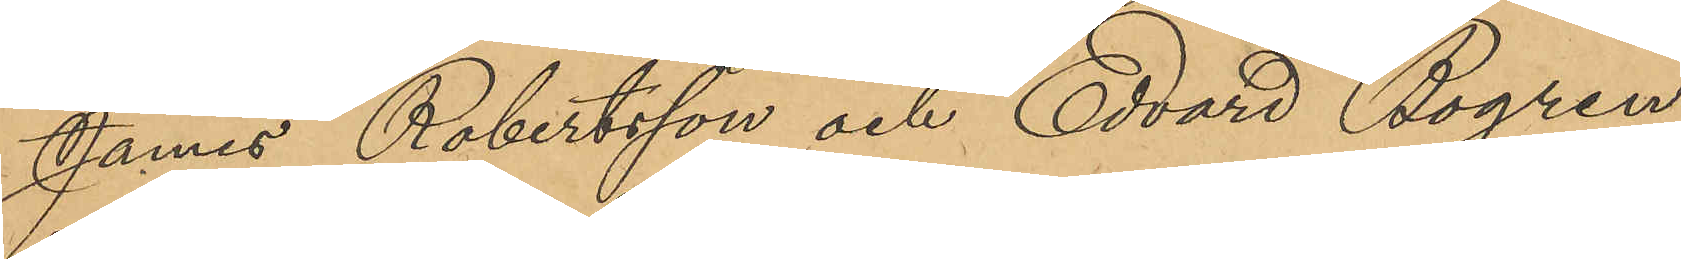James Robertsson och Edvard Bogren,
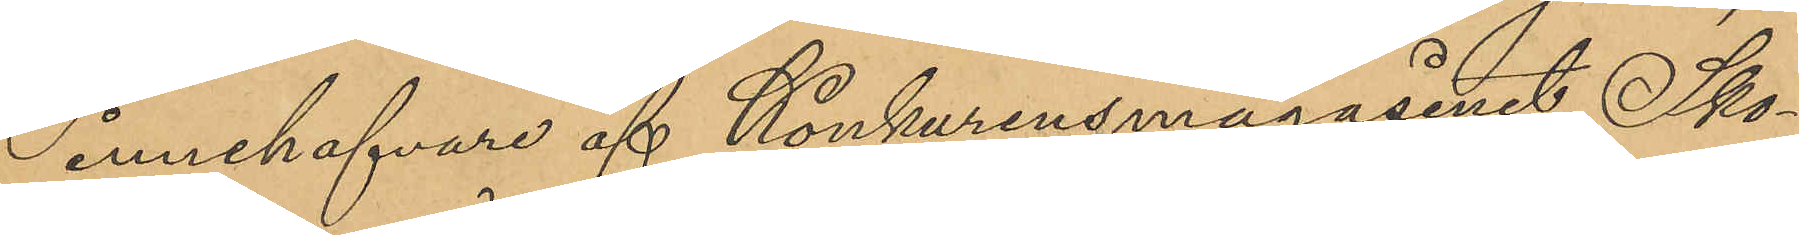innehafvare af Konkurensmagasinet, Sko¬
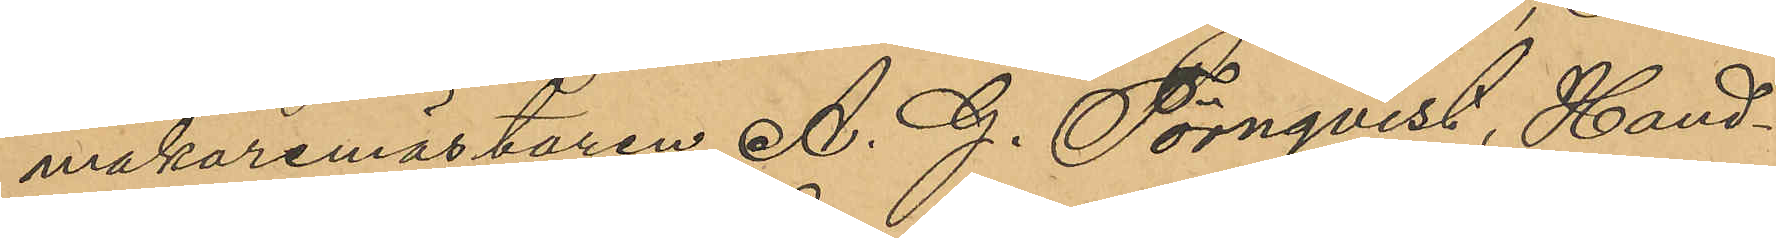makaremästaren A. G. Törnqvist, Hand¬
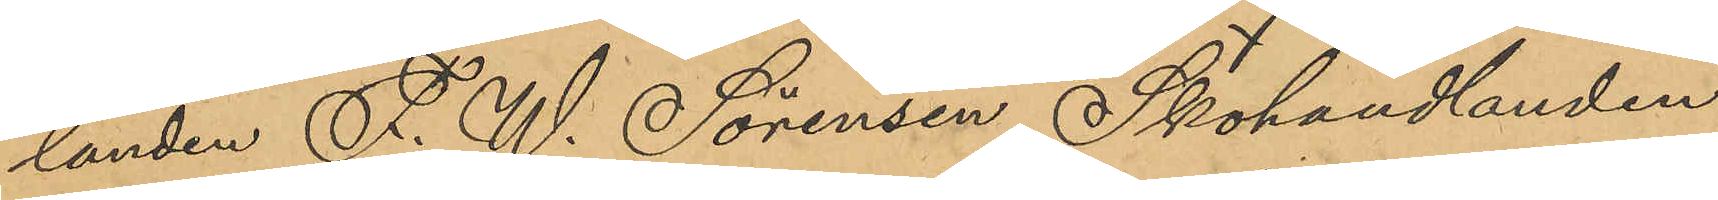landen F. W. Sörensen, Skohandlanden
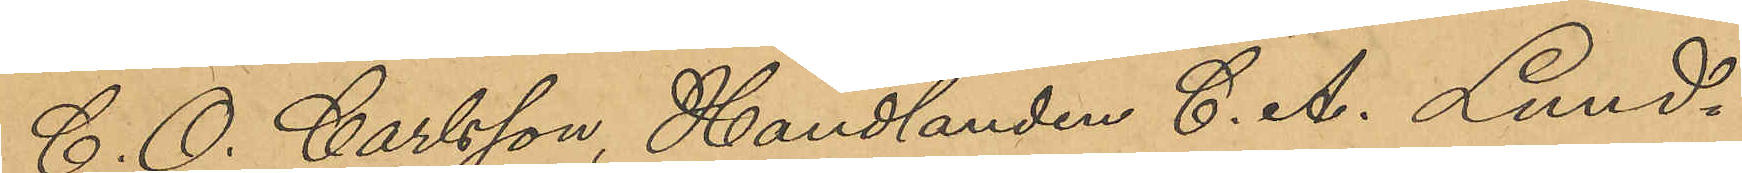C. O. Carlsson, Handlanden C. A. Lund¬
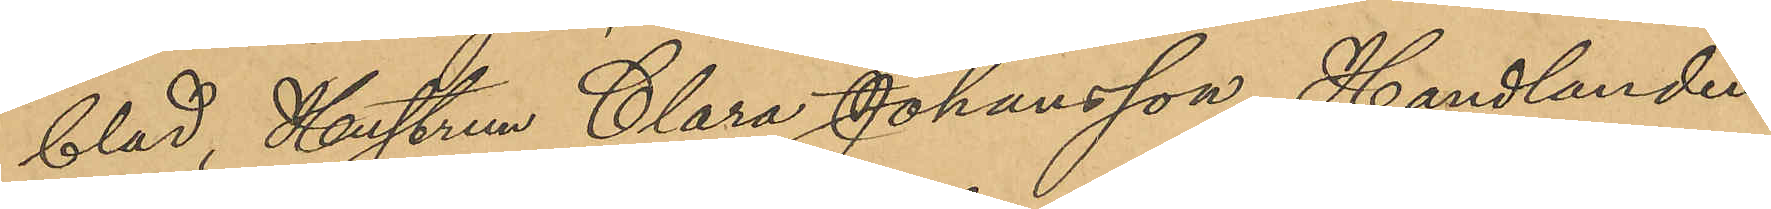blad, Hustrun Clara Johansson, Handlanden
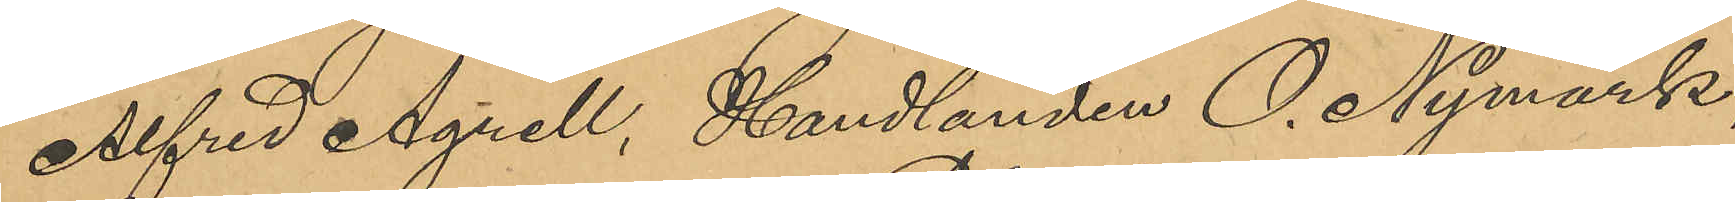Alfred Agrell, Handlanden O. Nymark,
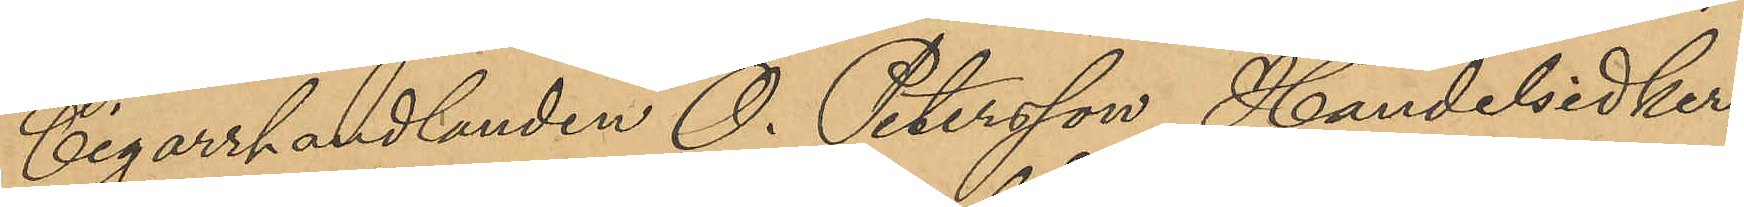Cigarrhandlanden O. Petersson, Handelsidker¬
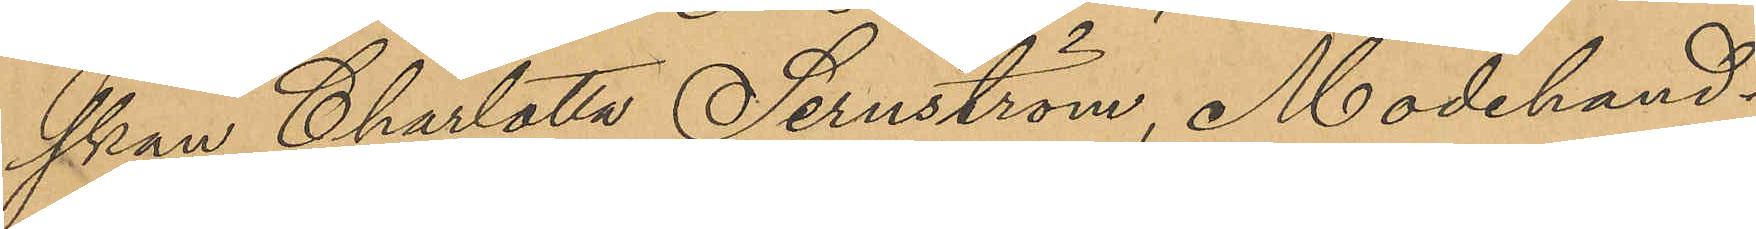skan Charlotta Sernström, Modehand¬
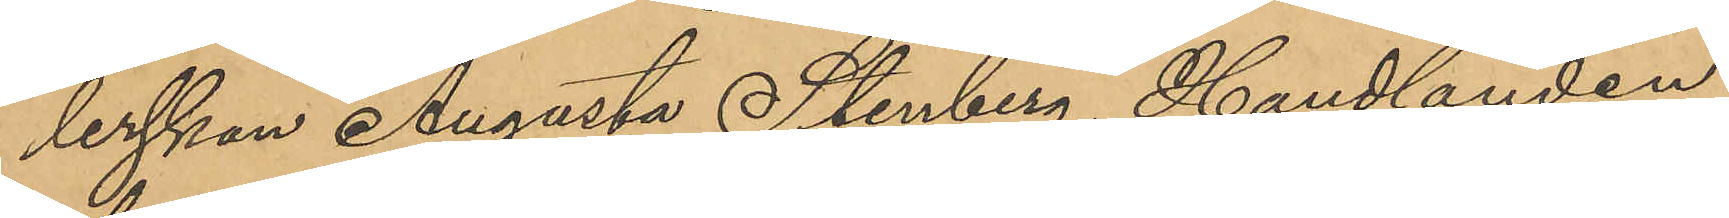lerskan Augusta Stenberg, Handlanden
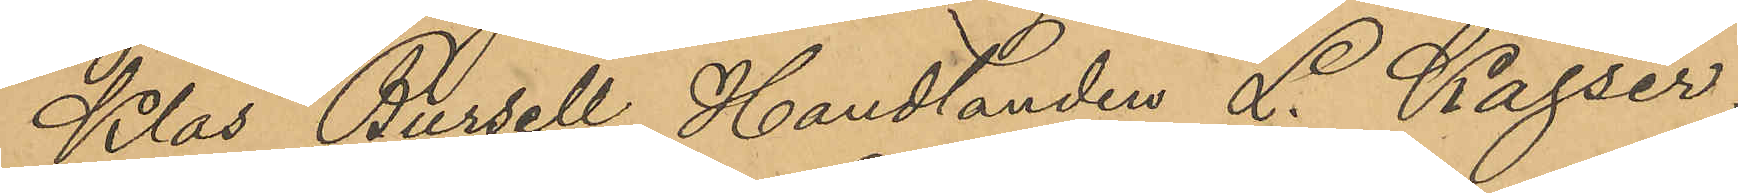Klas Bursell, Handlanden L. Kajser,
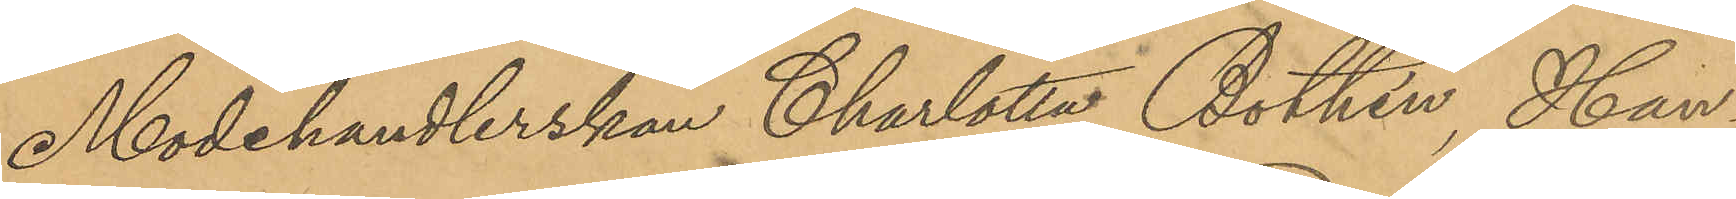Modehandlerskan Charlotta Bothén, Han¬
